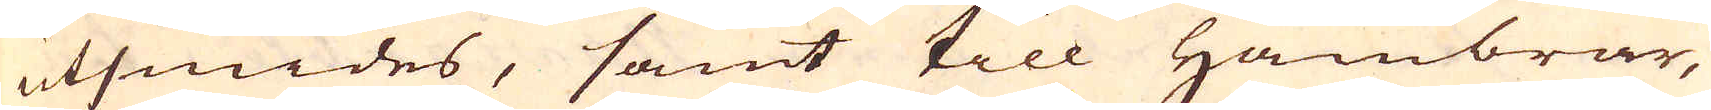utsmides, samt till Hambrar,
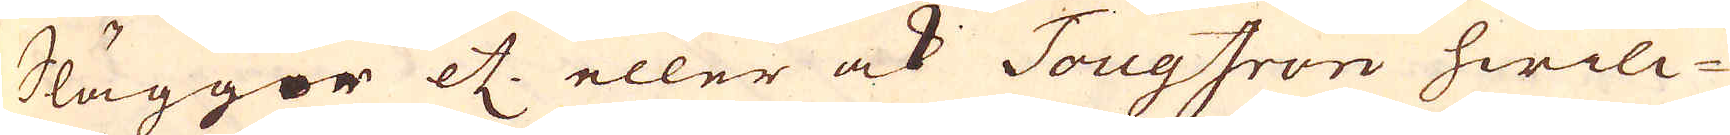Slägger etc, eller ock TougIron hwilc-
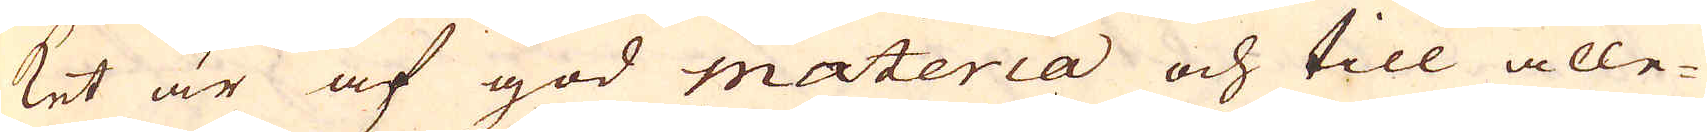ket är af god materia och till alle-
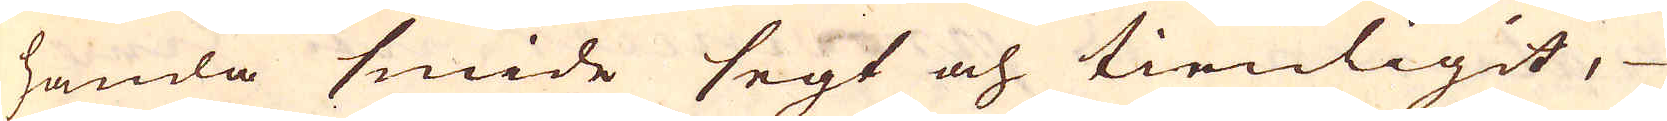handa smide segt och tienligit,
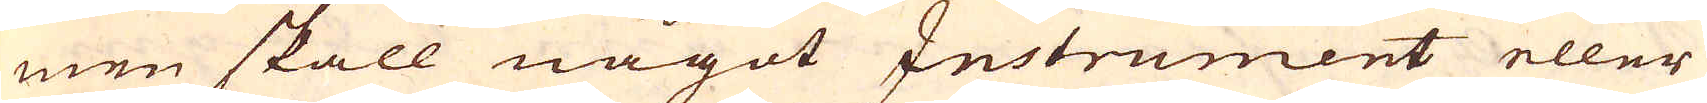men skall något Instrument eller
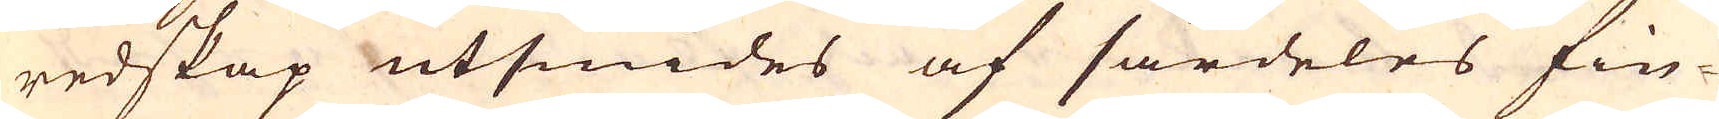redskap utsmides af särdeles fin-
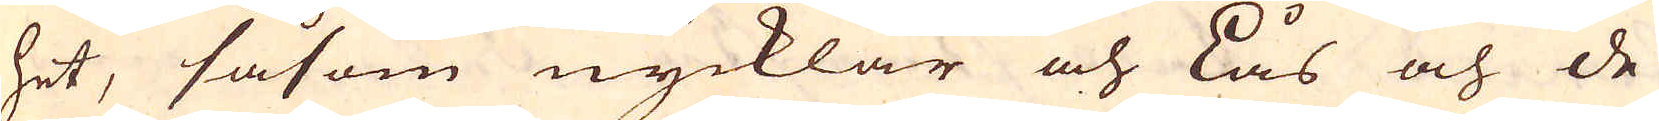het, såsom nycklar och Lås och de
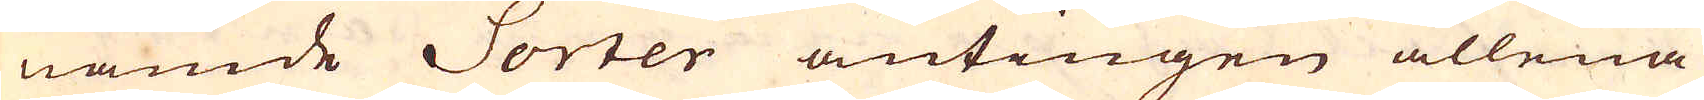nämde Sorter antingen allena
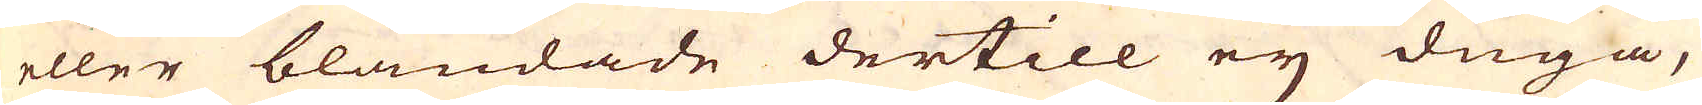eller blandade dertill eij duga,
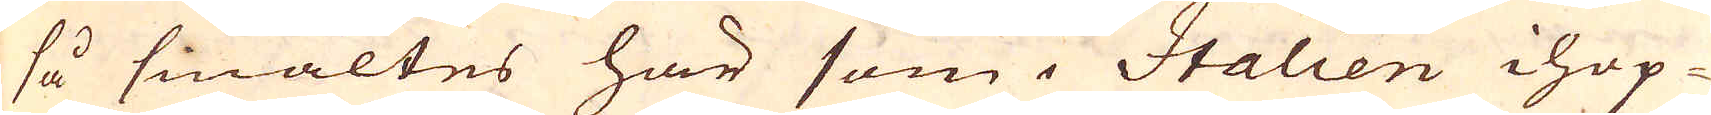så smältes här som i Italien ihop-
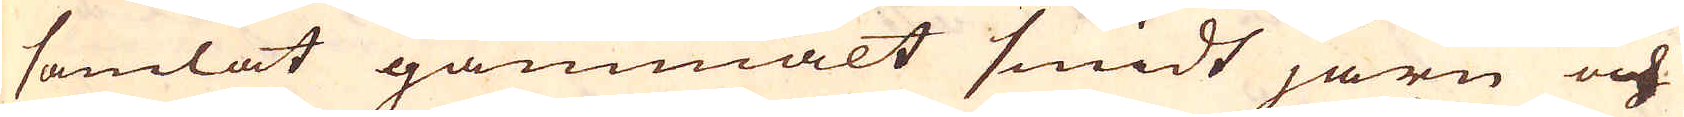samlat gammalt smidt järn och
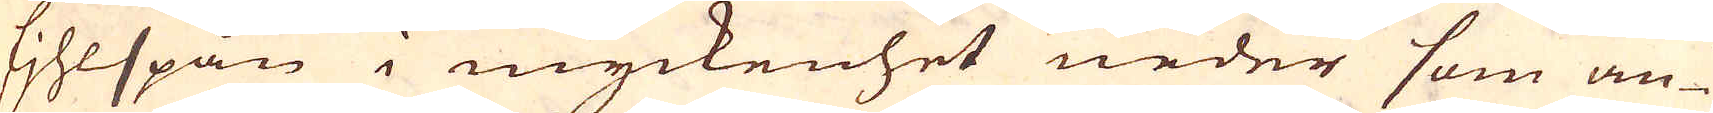fihlspån i myckenhet neder som an-
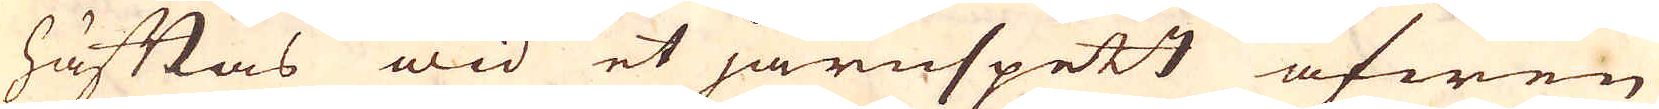häftas wid et järnspett äfwen
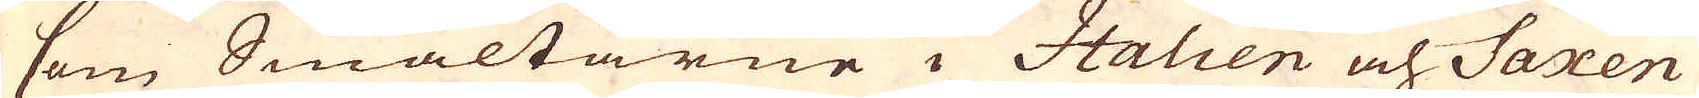som Smältarne i Italien och Saxen
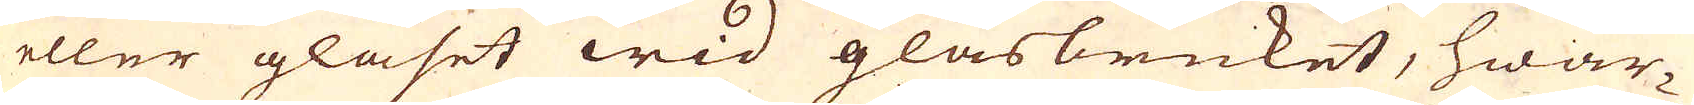eller glaset wid glasbruket, hwar-
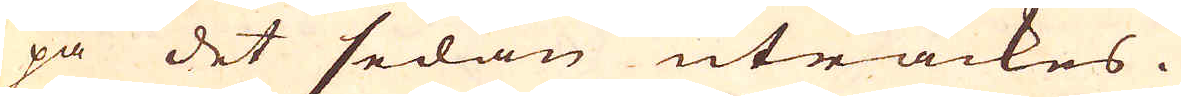på det sedan uträckes.
